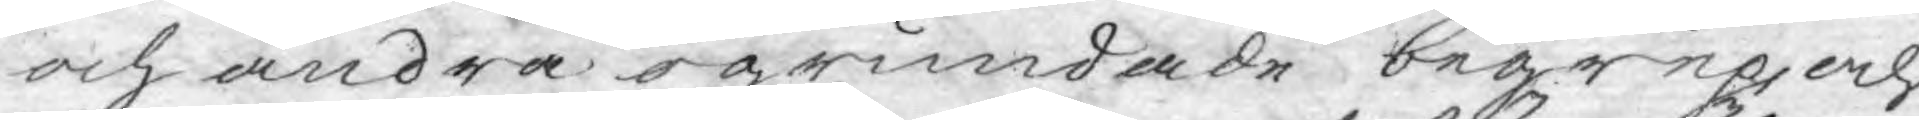och andra ogrundade begrep, och
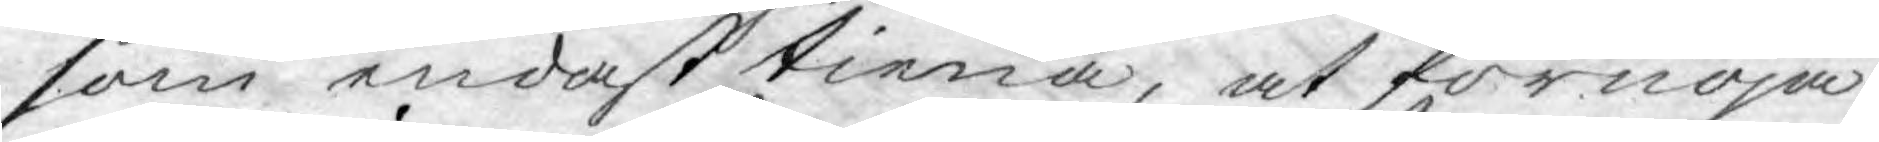som endast tiena, at förnöja
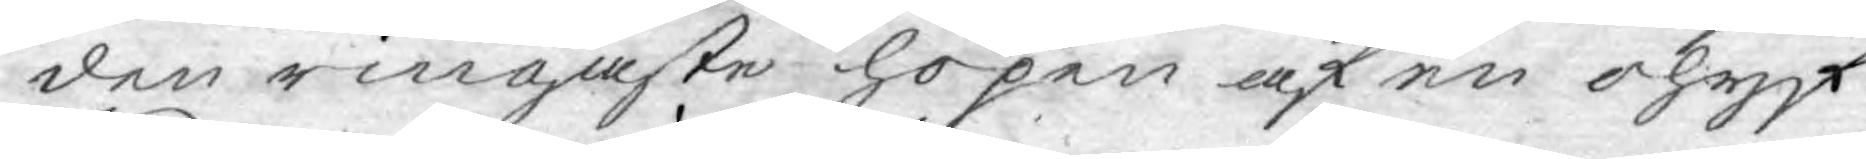den ringaste hopen af en ohyf¬
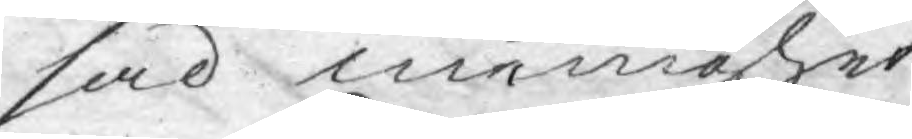sad menighet.
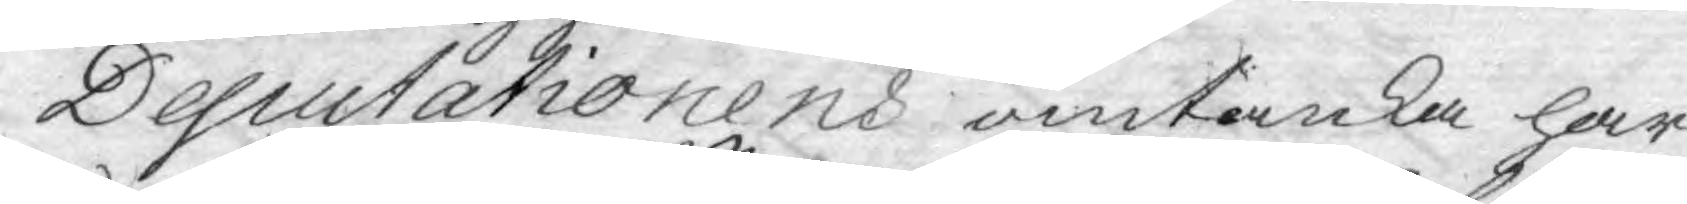Deputationens omtanka har
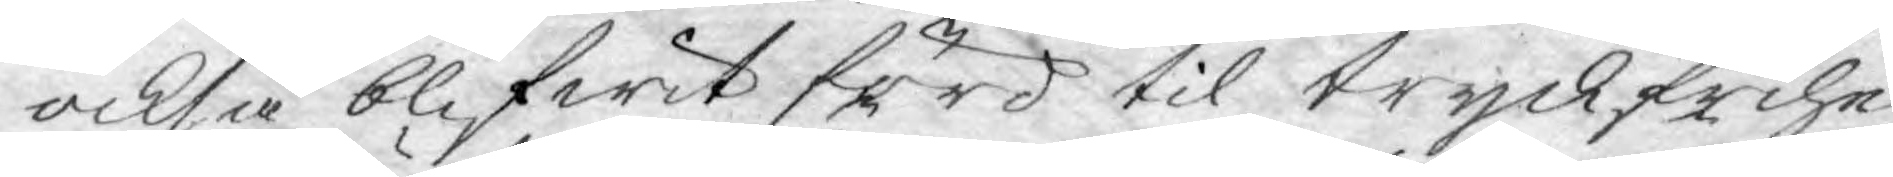också blifwit förd til tryckfrihe¬
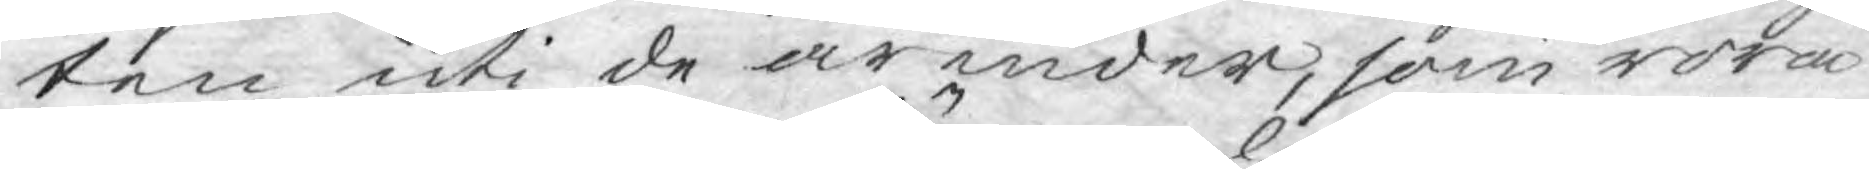ten uti de ärender, som röra
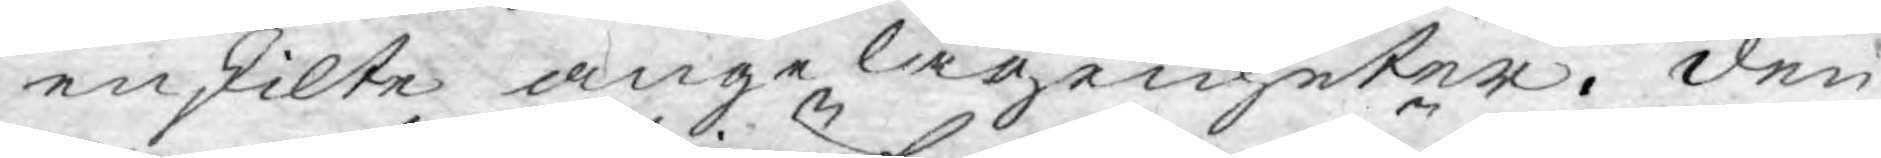enskilte angelägenheter. den
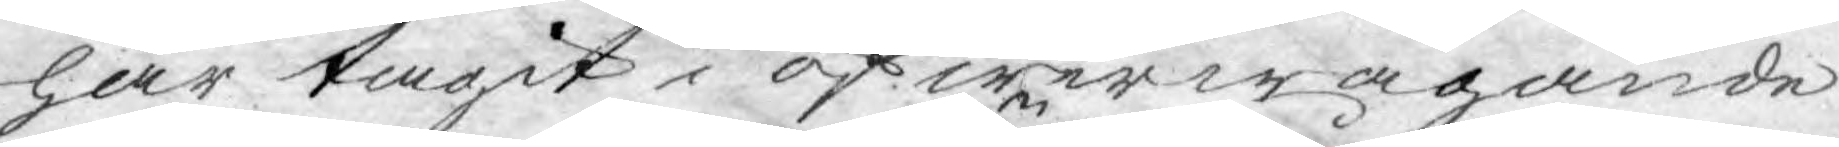har tagit i öfwerwägande
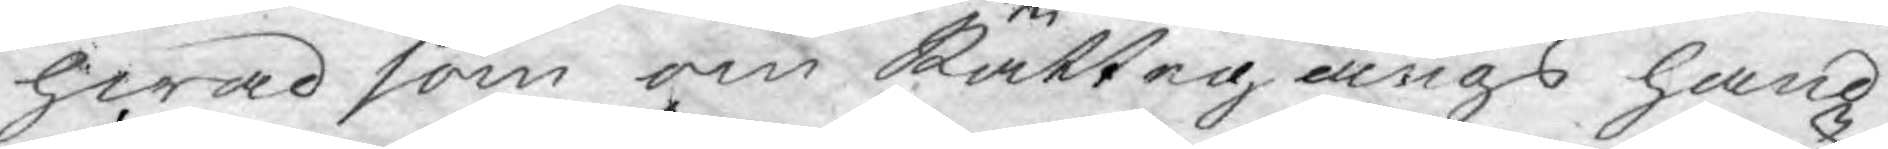hwad som om Rättegångs hand¬
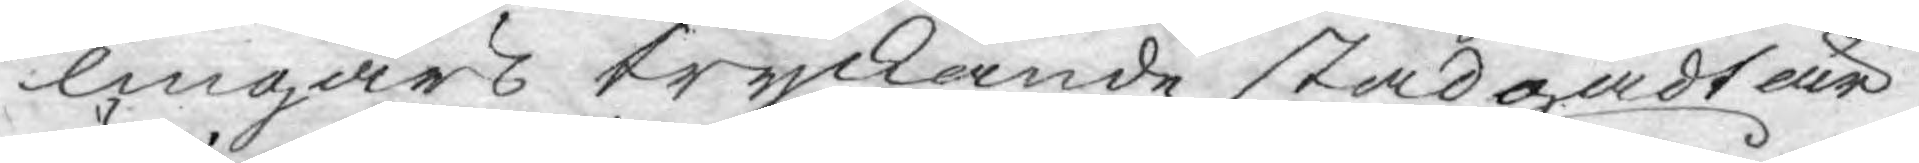lingars tryckande stadgadt är
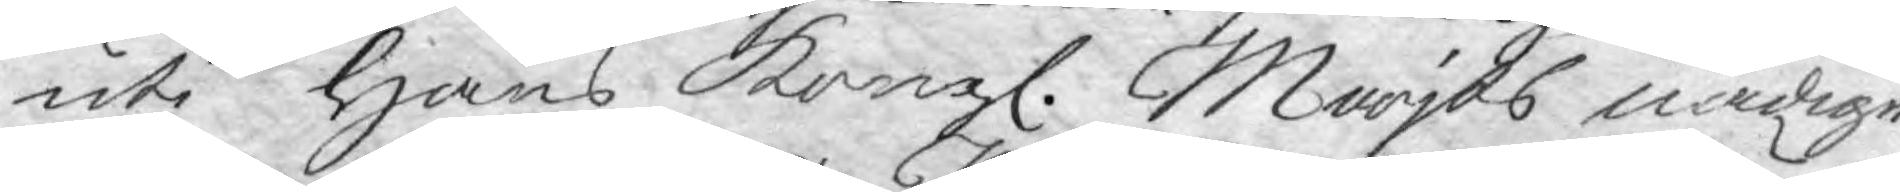uti Hans Kongl. Maijts nådige
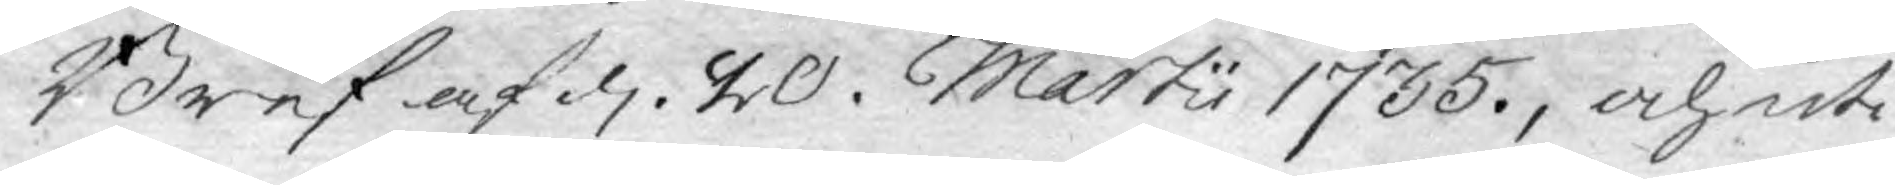Bref af d. 20. Martii 1735, och uti
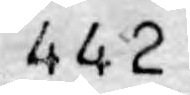442
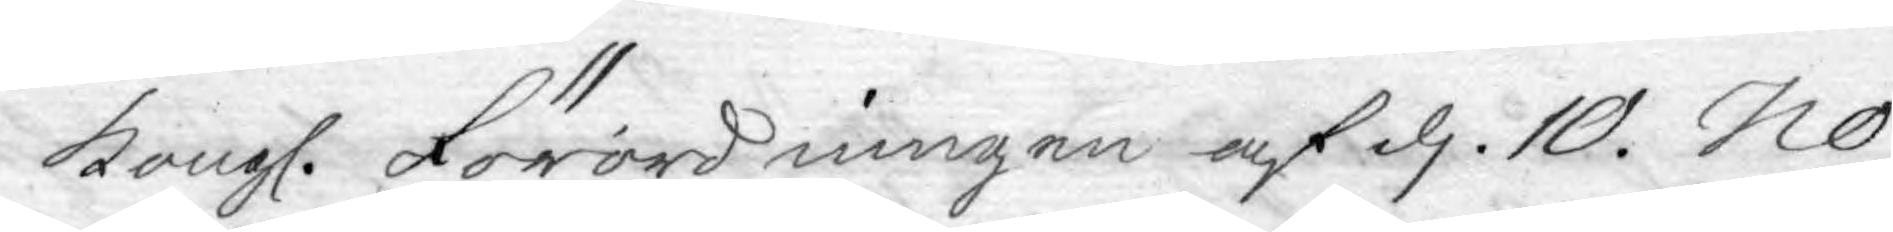Kongl. Förordningen af d. 10. No¬
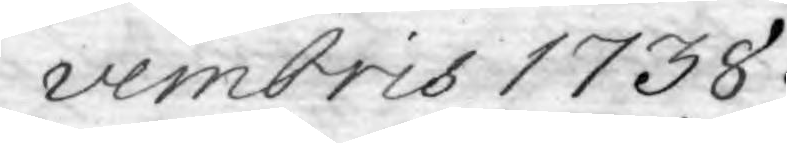vembris 1738.
